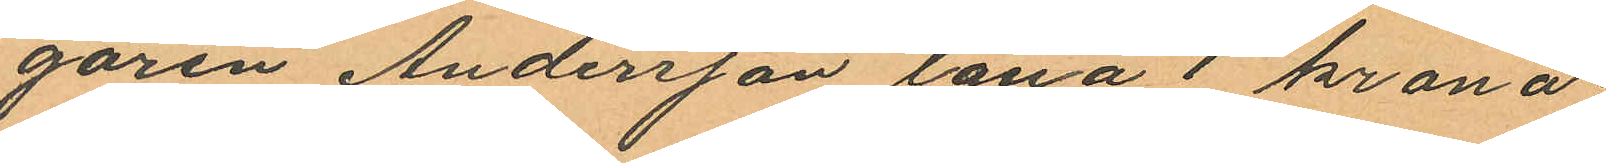garen Andersson låna 1 krona
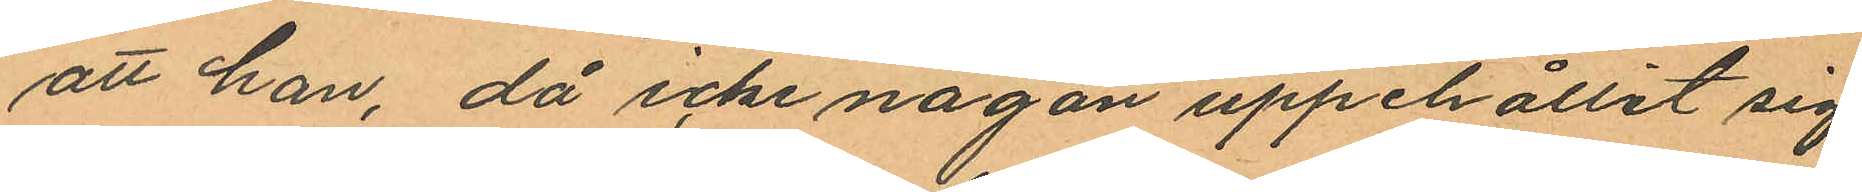att han, då icke någon uppehållit sig
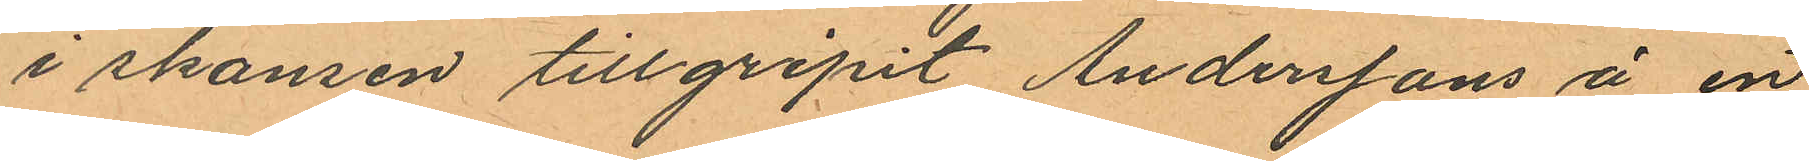i skansen tillgripit Anderssons å en
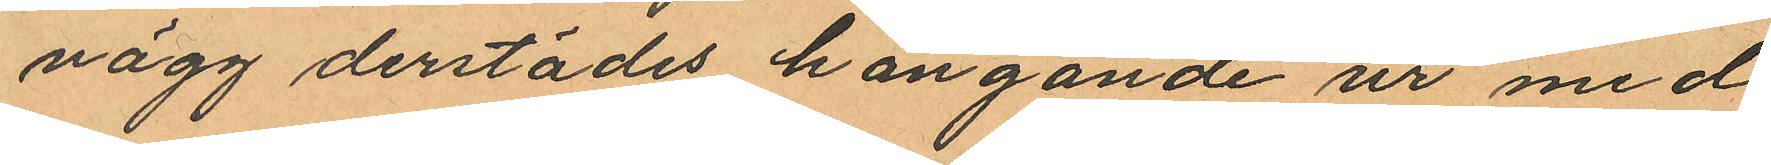vägg derstädes hängande ur med
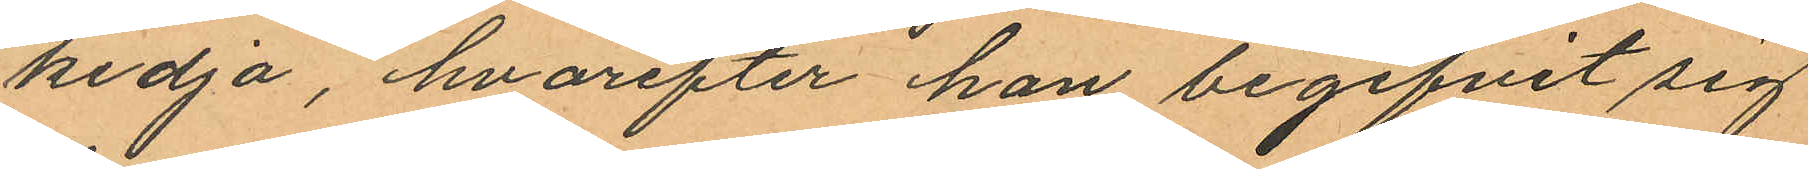kedja, hvarefter han begifvit sig
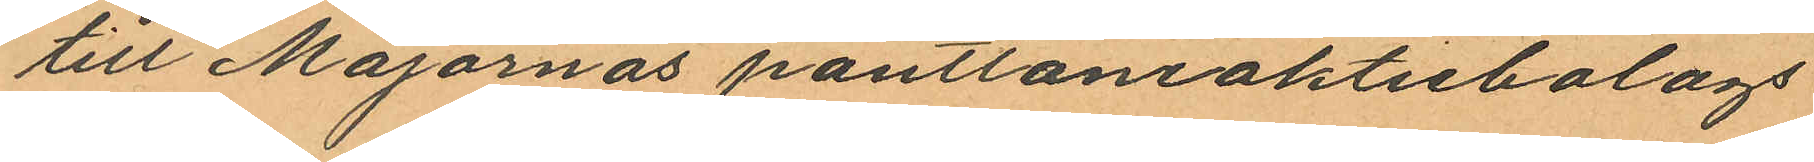till Majornas pantlåneaktiebolags
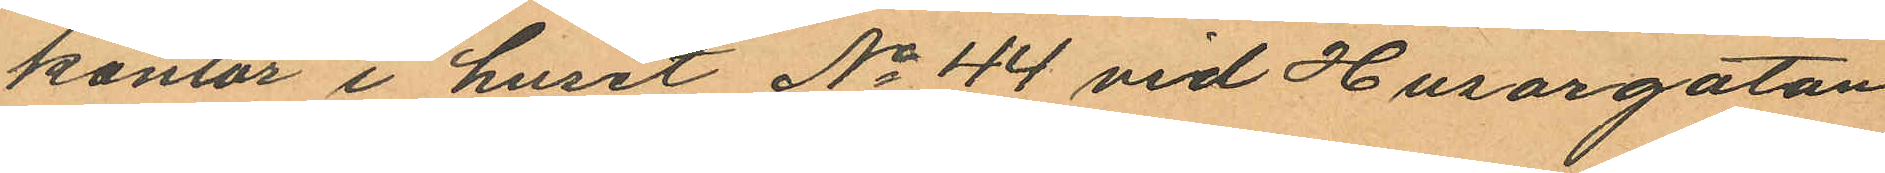kontor i huset No 44 vid Husargatan
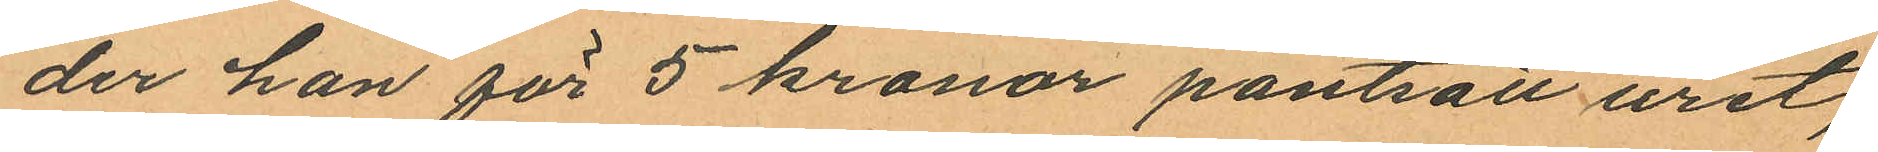der han för 5 kronor pantsatt uret;
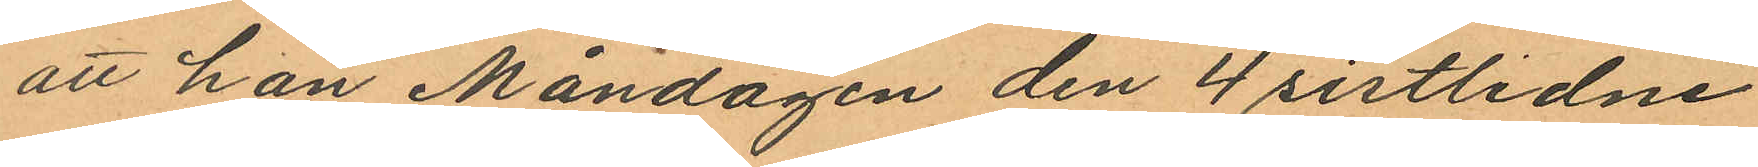att han Måndagen den 4 sistlidne
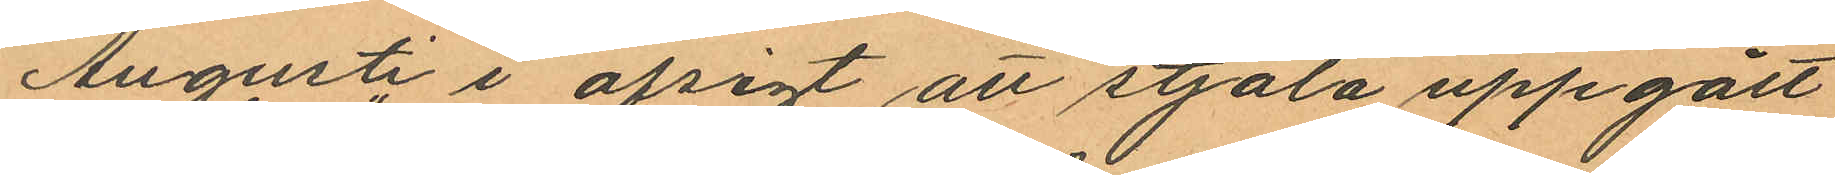Augusti i afsigt att stjäla uppgått
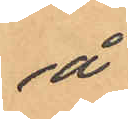å
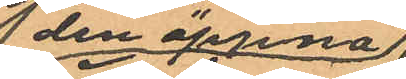 den öppna
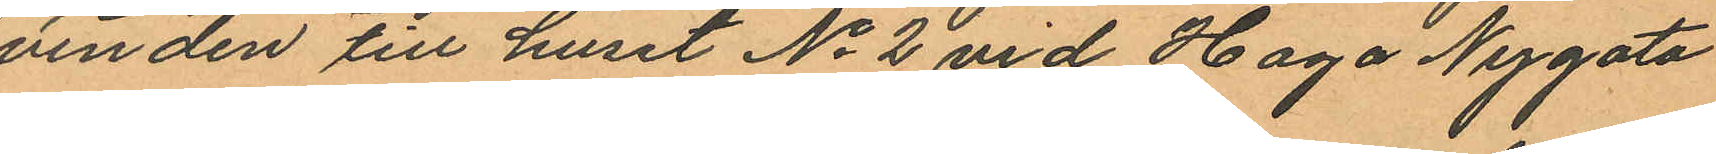vinden till huset No 2 vid Haga Nygata
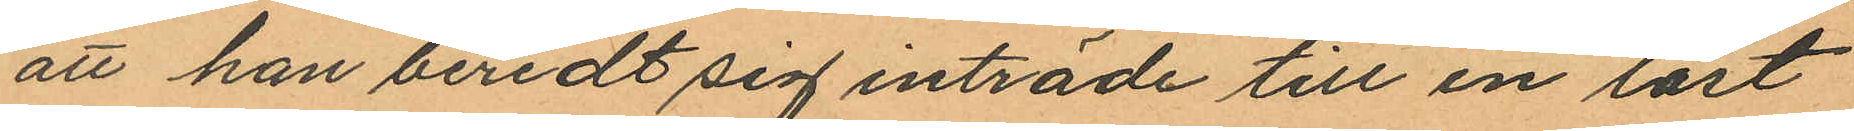att han beredt sig inträde till en låst
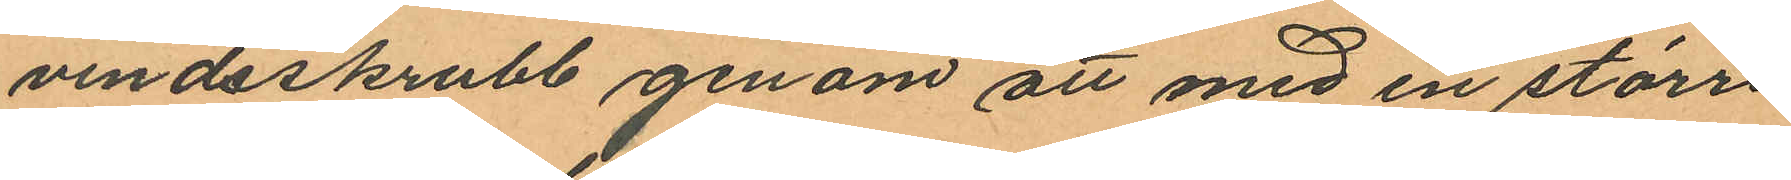vindsskrubb genom att med en större
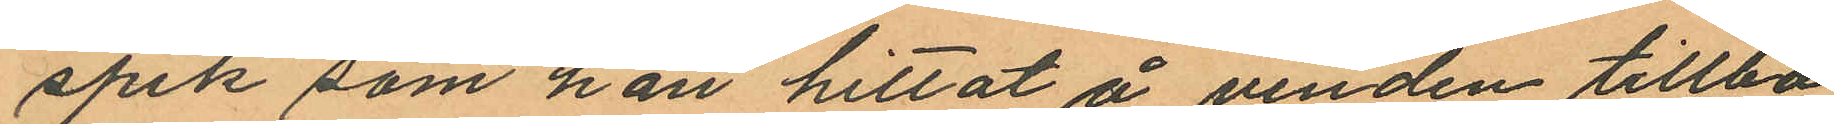spik som han hittat å vinden tillba
